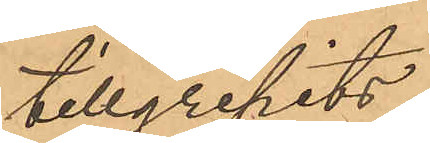tillgripits
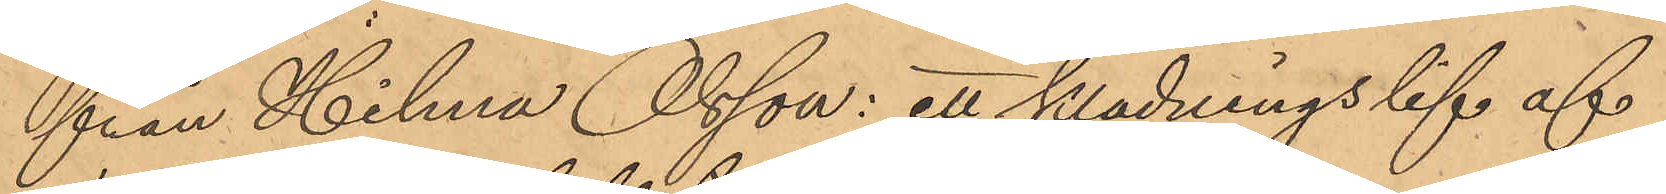från Hilma Olsson: ett klädningslif af
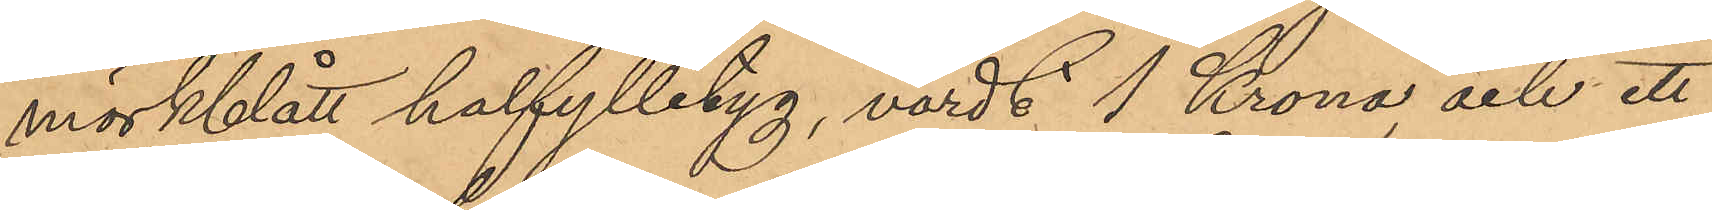mörkblått halfylletyg, värdt 1 Krona, och ett
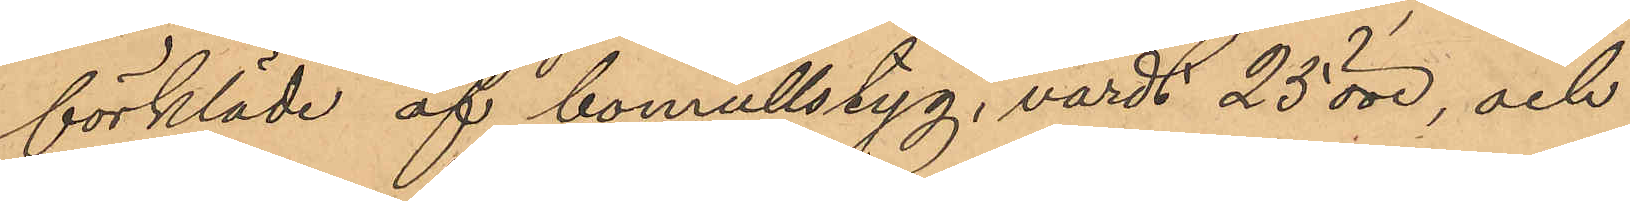förkläde af bomullstyg, värdt 25 öre, och
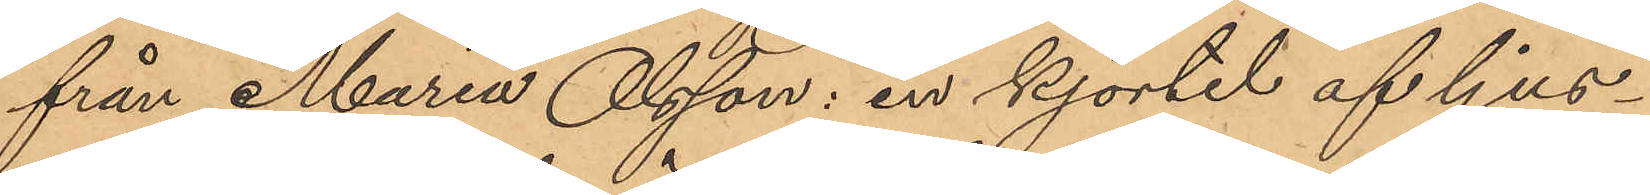från Maria Olsson: en kjortel af ljus¬
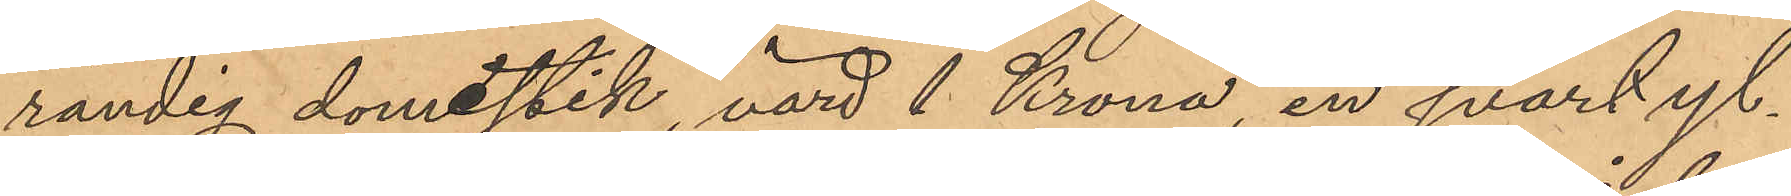randig domestik, värd 1 Krona, en svart yl¬
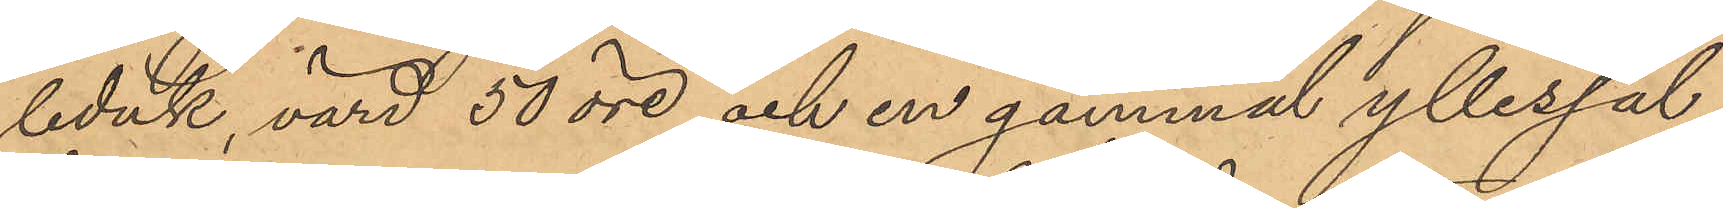leduk, värd 50 öre och en gammal yllesjal,
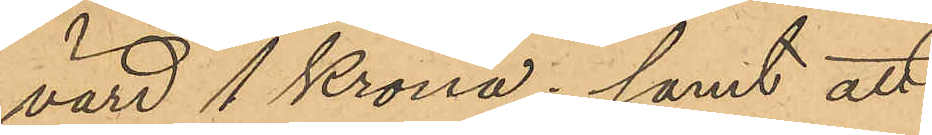värd 1 Krona; samt att
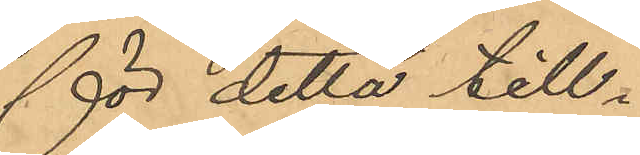för detta till¬
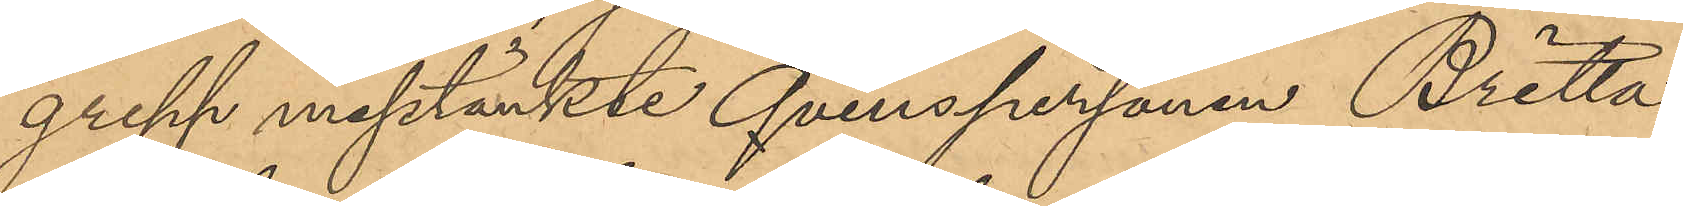grepp misstänkte Qvinspersonen Britta
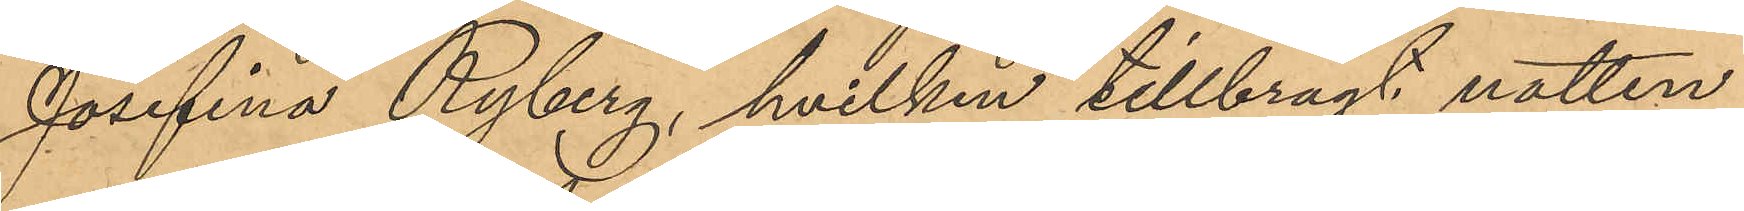Josefina Ryberg, hvilken tillbragt natten
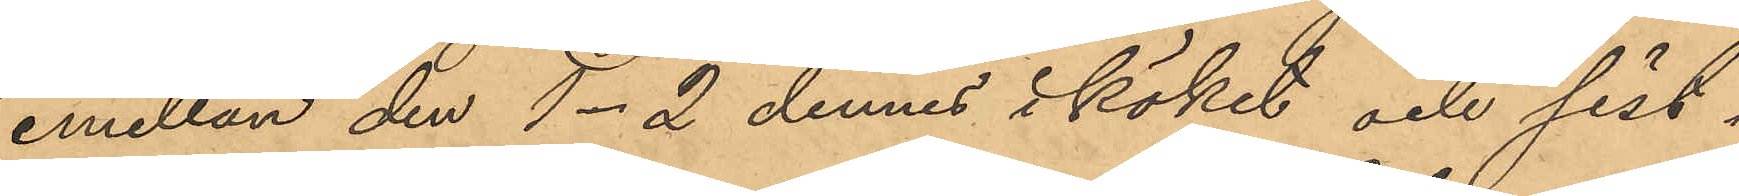emellan den 1-2 dennes i köket och sist¬
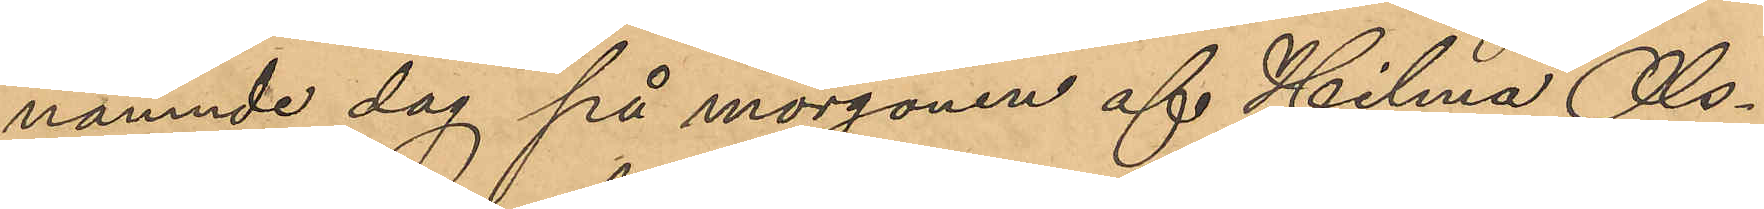nämnde dag på morgonen af Hilma Ols¬
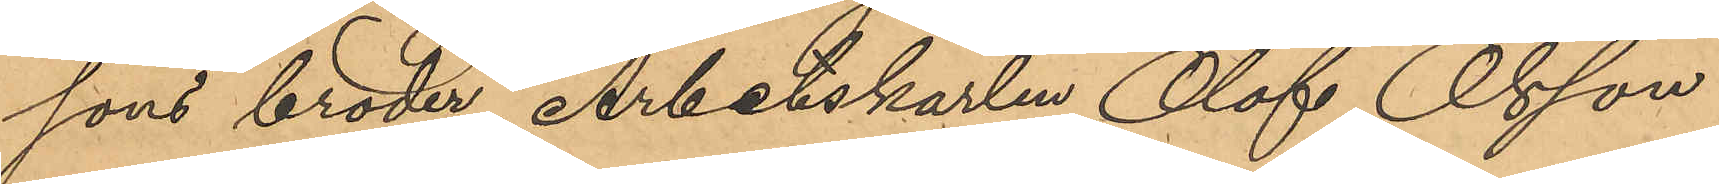sons broder, Arbetskarlen Olof Olsson
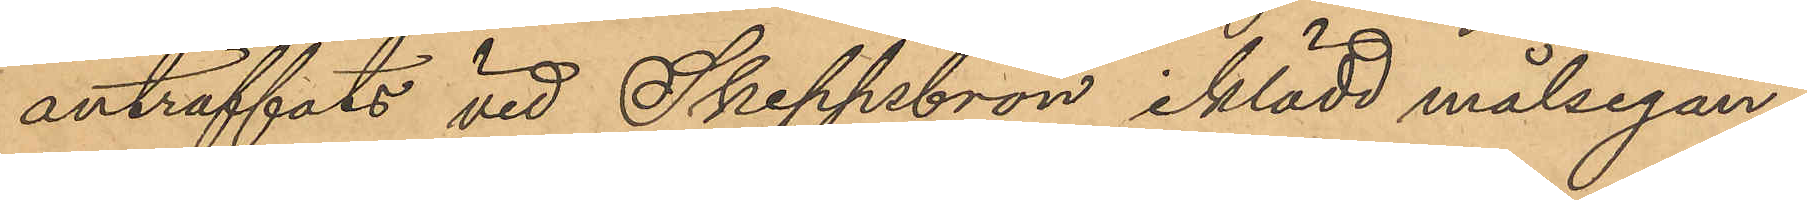anträffats vid Skeppsbron, iklädd målsegan¬
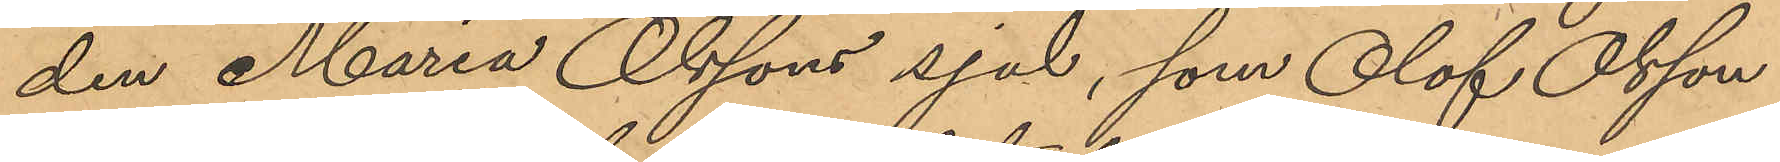den Maria Olssons sjal, som Olof Olsson
